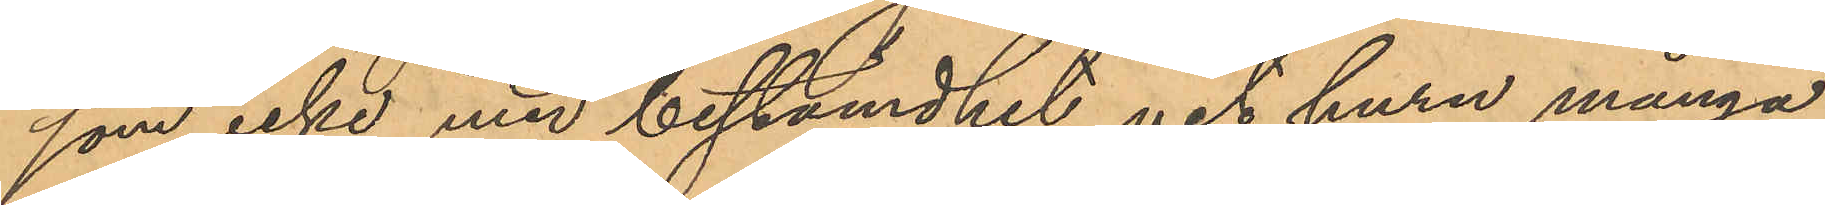som icke med bestämdhet vet huru många
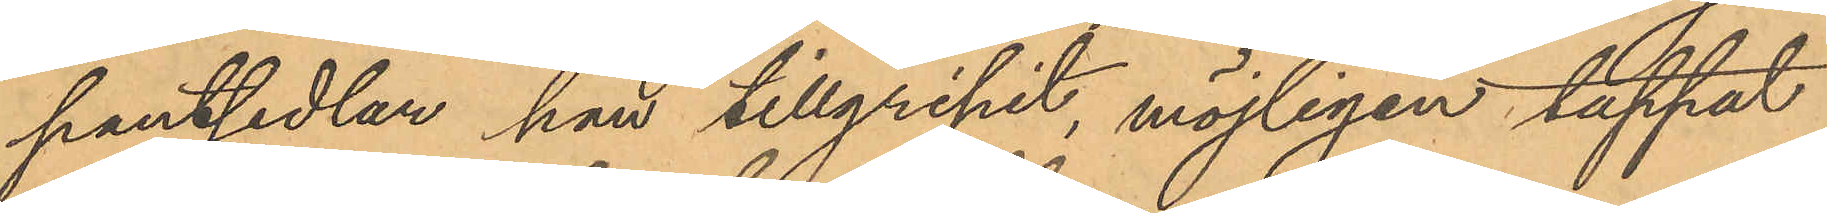pantsedlar han tillgripit, möjligen tappat
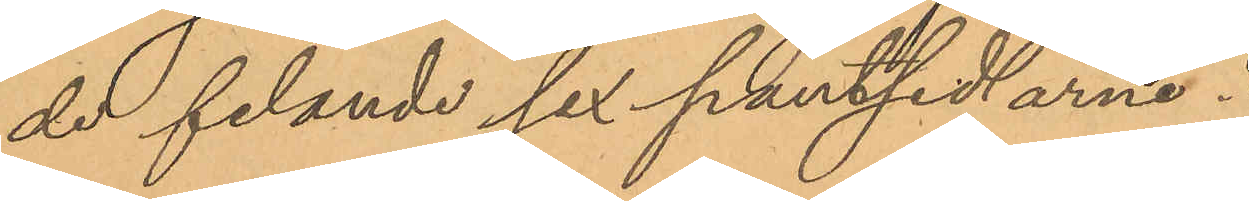de felande sex pantsedlarne.
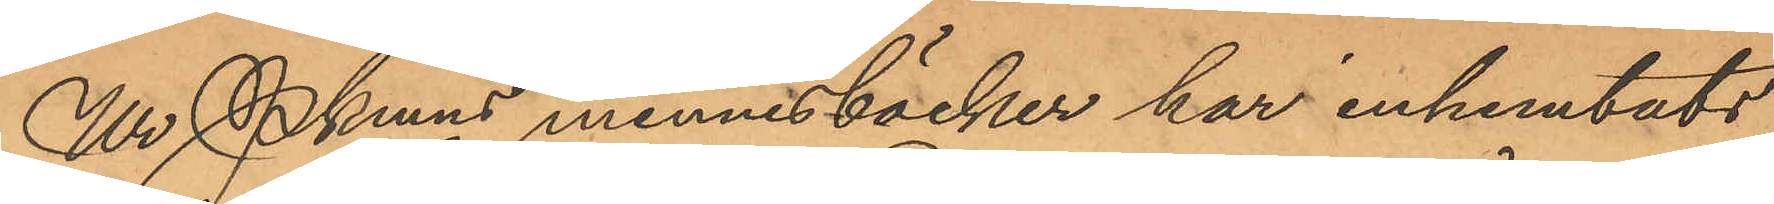Ur Pkmns minnesböcker har inhemtats
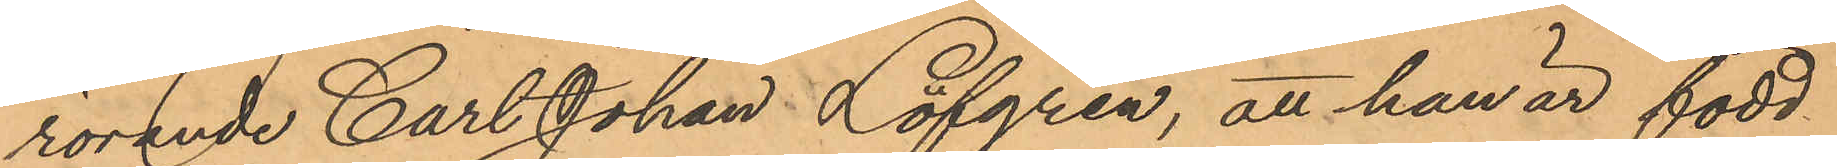rörande Carl Johan Löfgren, att han är född
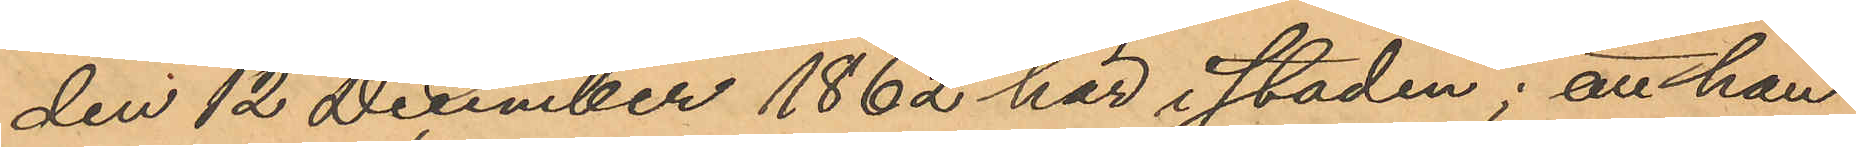den 12 December 1862 här i staden; att han
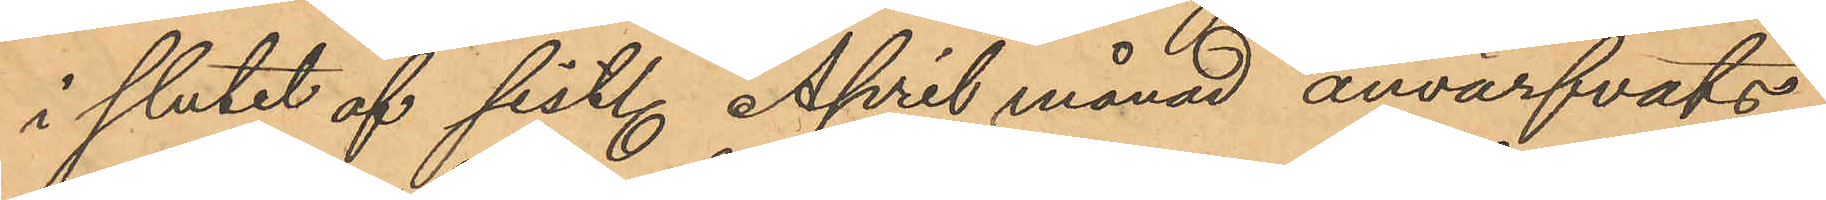i slutet af sist. April månad anvärfvats
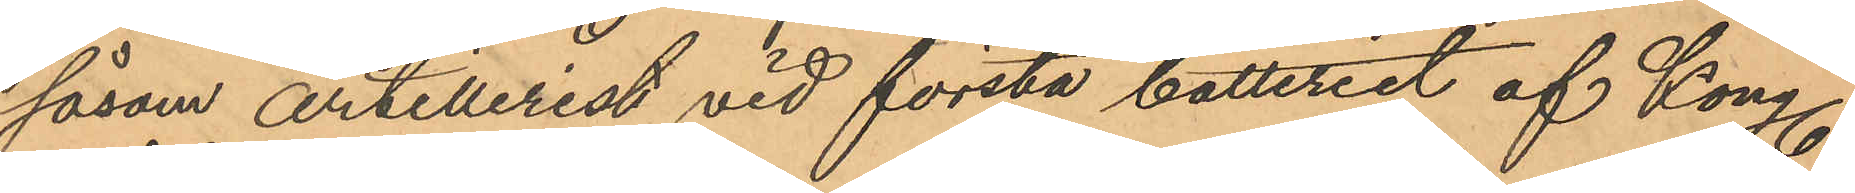såsom artillerist vid första batteriet af Kong.
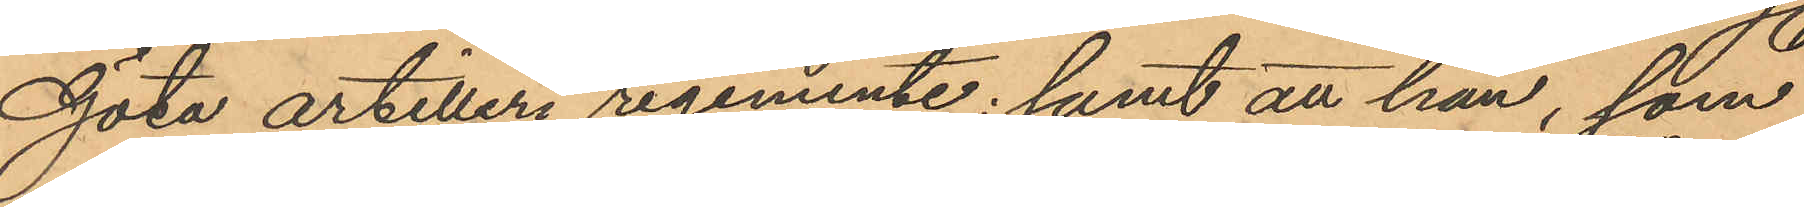Göta artilleri regemente; samt att han, som
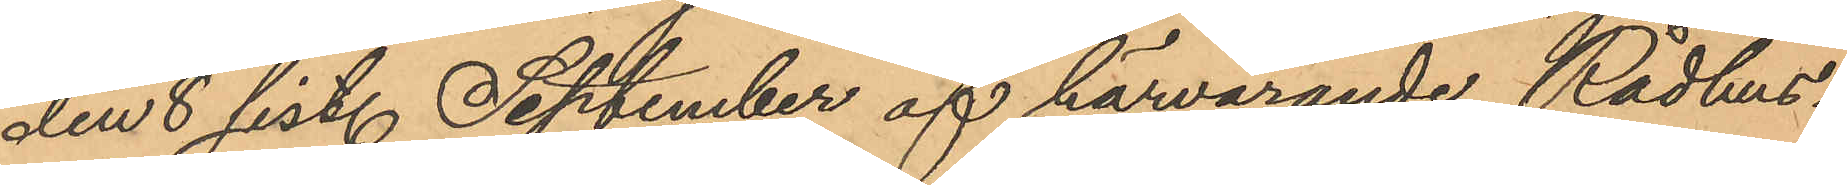den 8 sist. September af härvarande Rådhus¬
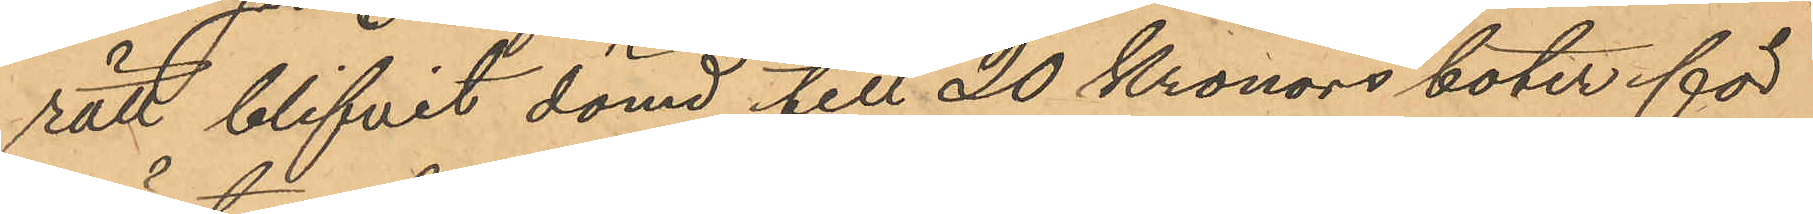rätt blifvit dömd till 20 Kronors böter för
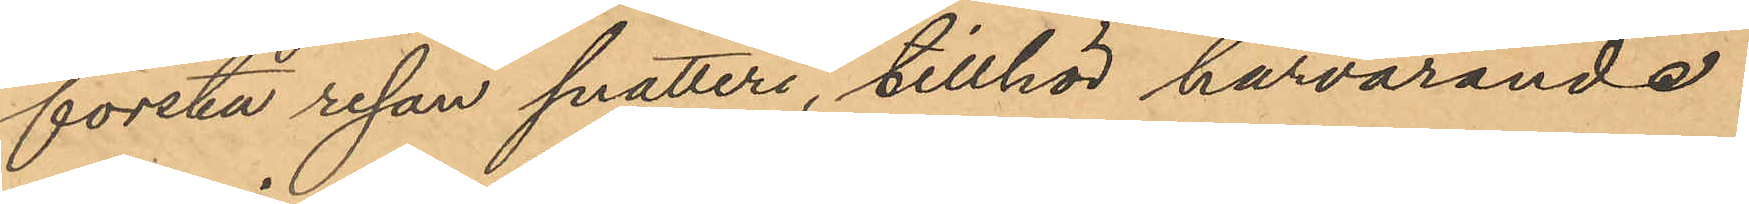första resan snatteri, tillhör härvarande
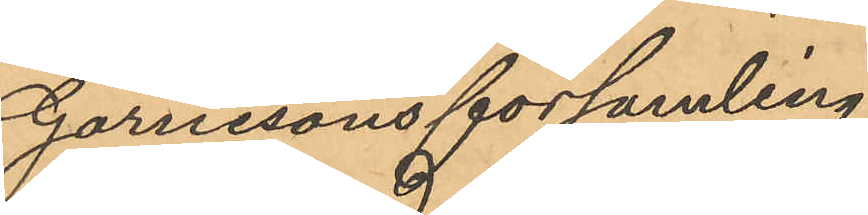Garnisonsförsamling.
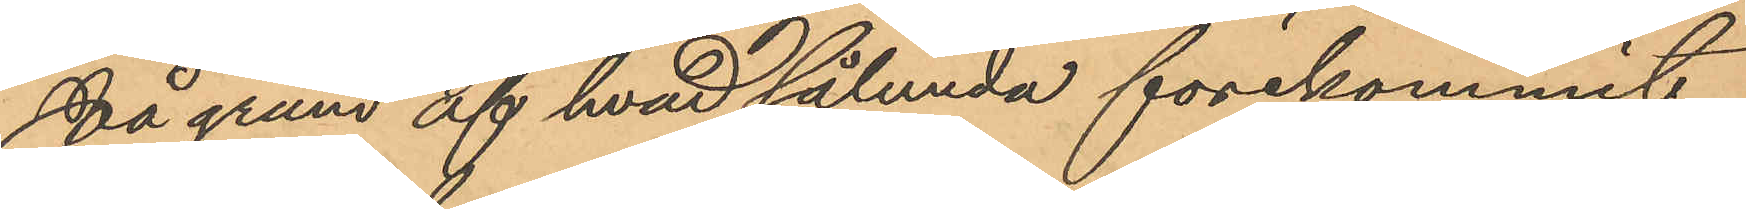På grund af hvad sålunda förekommit
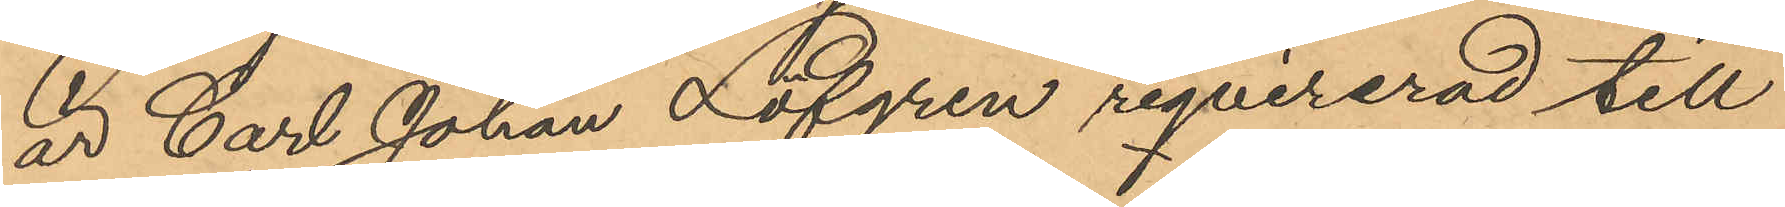är Carl Johan Löfgren reqvirerad till
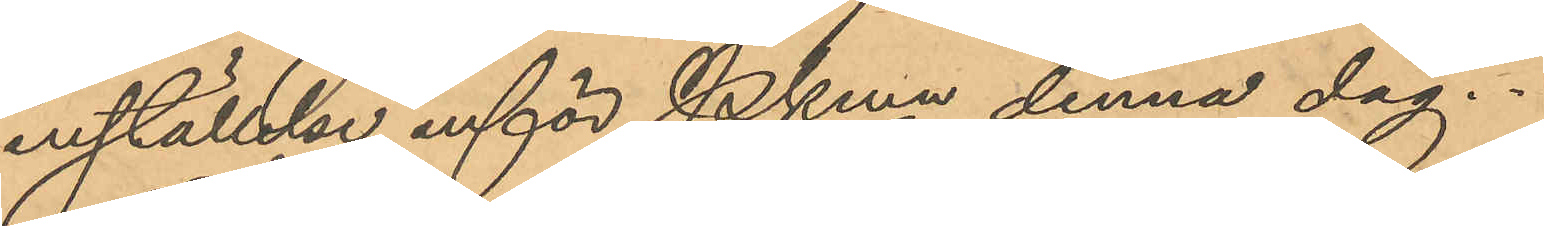inställelse inför Pkmn denna dag.
